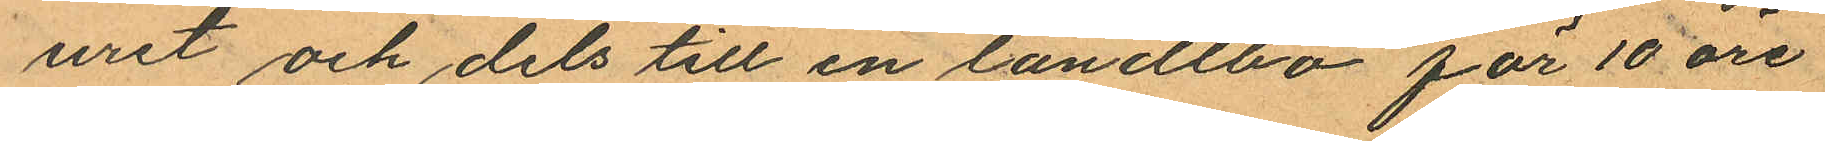uret och dels till en landtbo för 10 öre
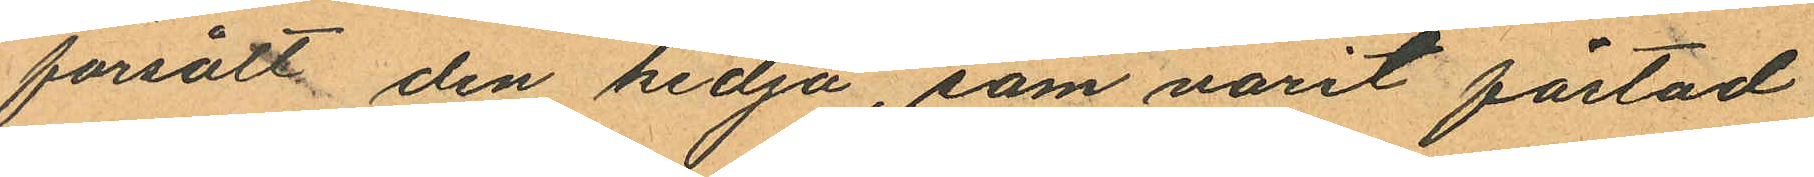försålt den kedja, som varit fästad
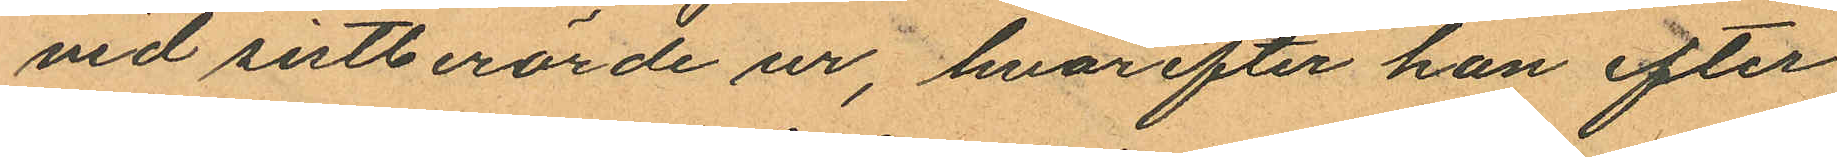vid sistberörde ur, hvarefter han efter
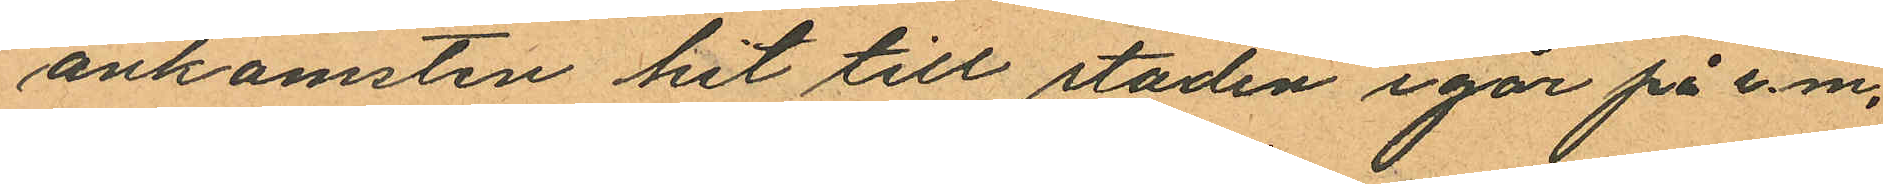ankomsten hit till staden igår på e.m.
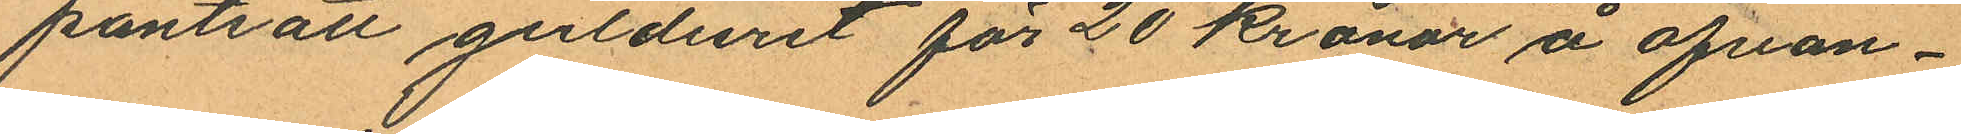pantsatt gulduret för 20 kronor å ofvan¬
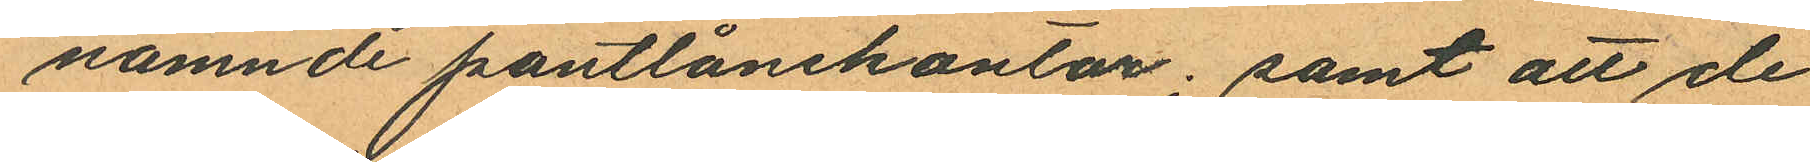namnde pantlånekontor; samt att de
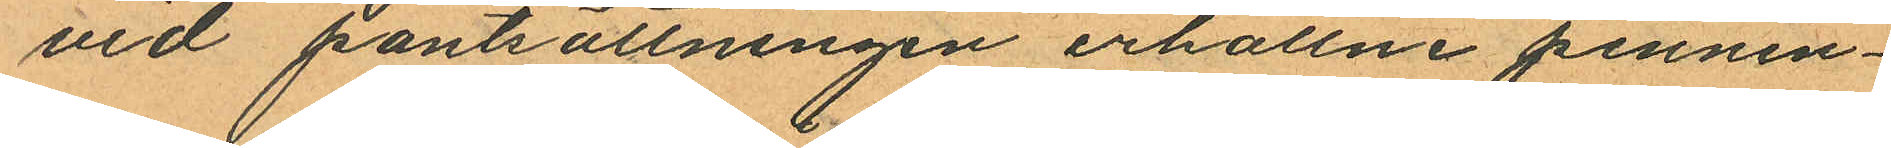vid pantsättningen erhållne pennin¬
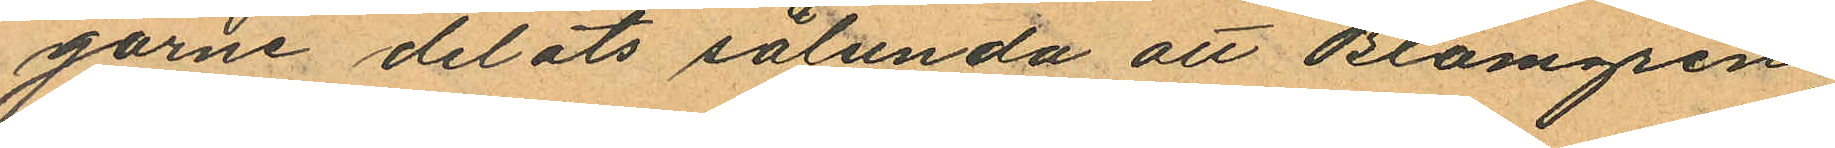garne delats sålunda att Blomgren
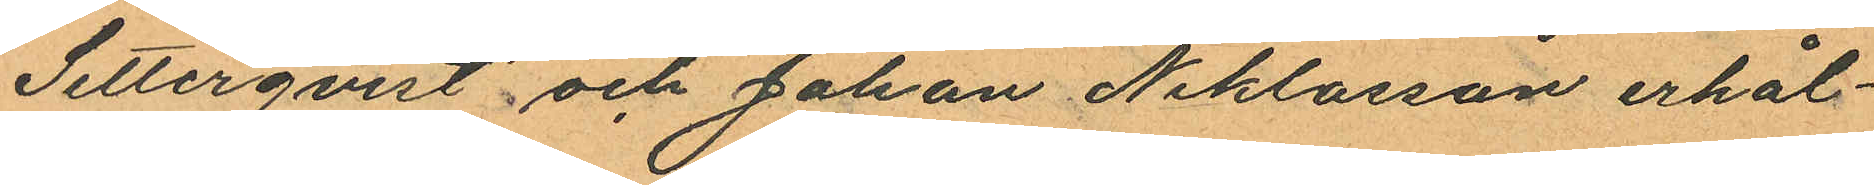Setterqvist och Johan Niklasson erhål¬
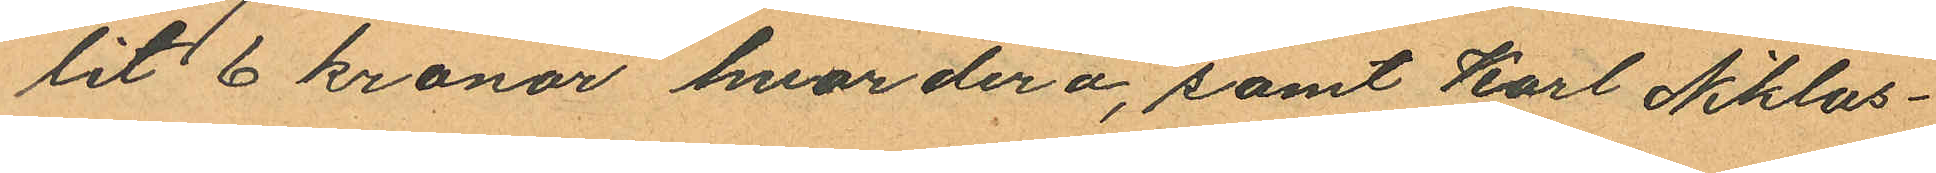lit 6 kronor hvardera, samt Karl Niklas¬
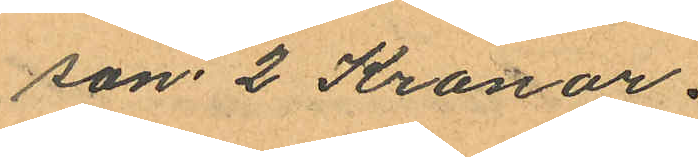son 2 Kronor.
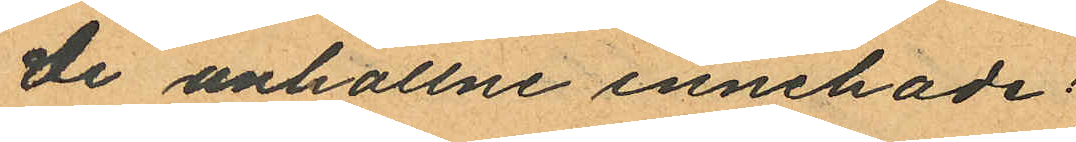De anhållne innehade;
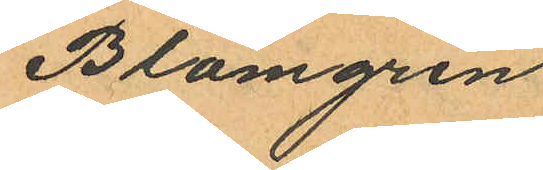Blomgren
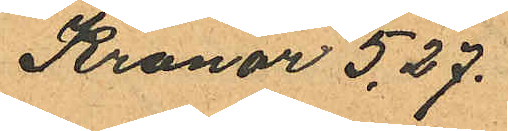Kronor 5.27.
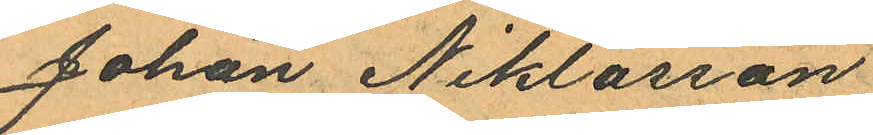Johan Niklasson
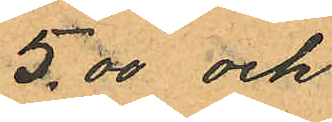5.00 och
